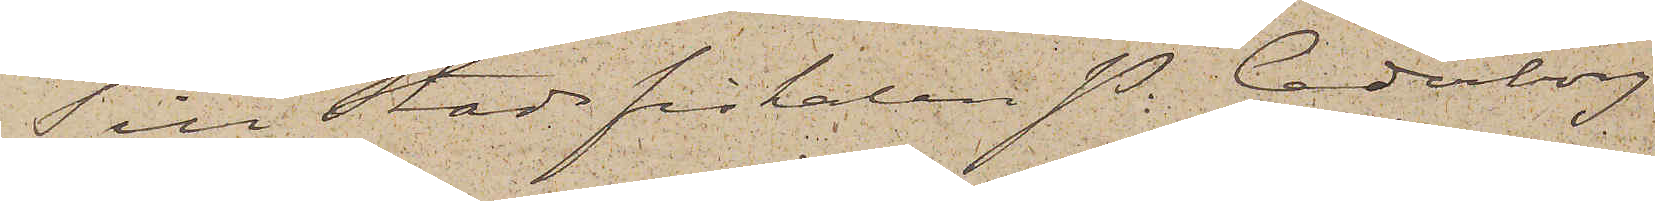Till Stadsfiskalen P. Cederborg
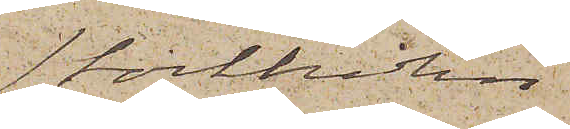Stockholm
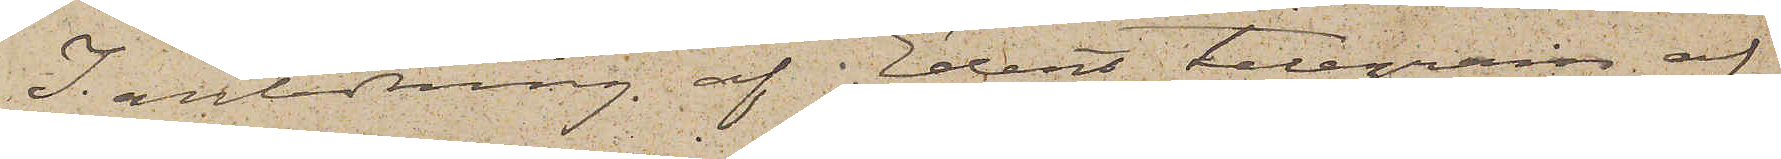I anledning af i Edert telegram af
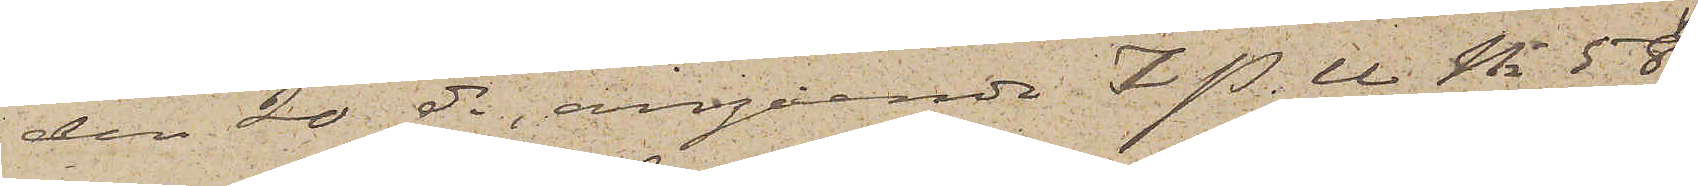den 20 ds, angående i P. U. No 58
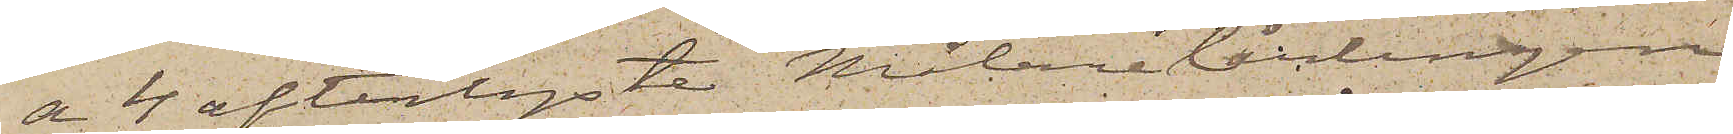a 4 efterlyste Målarelärlingen
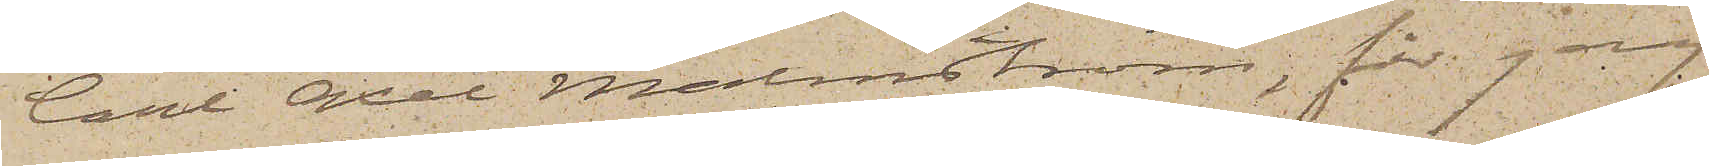Carl Axel Malmström, får jag
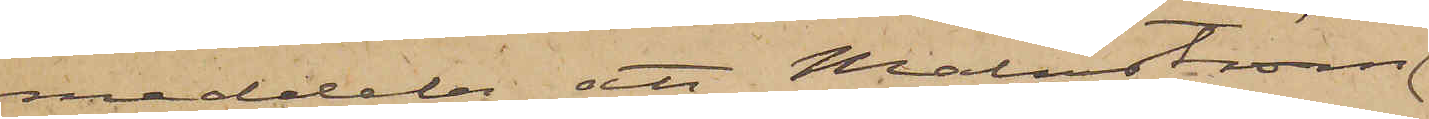meddela att Malmström
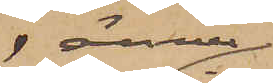ännu
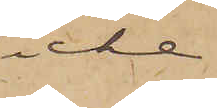icke
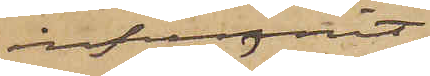infunnit
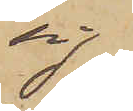sig
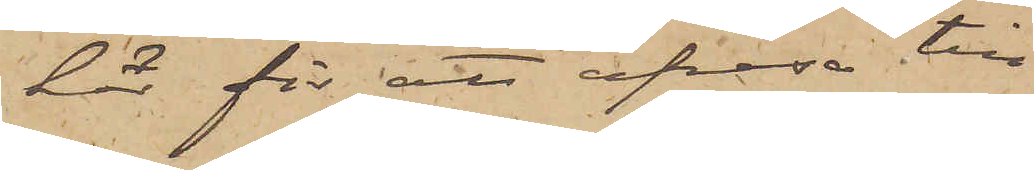här för att afresa till
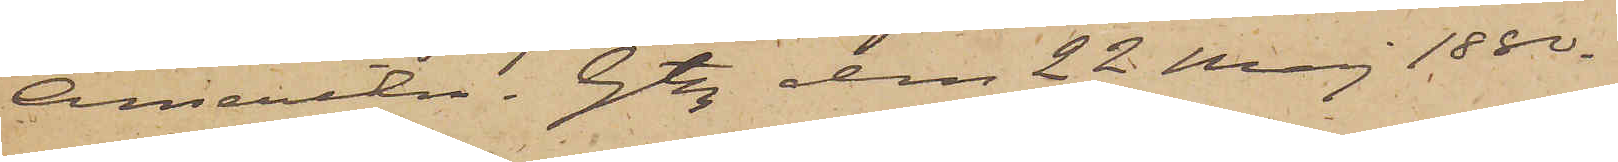Amerika. Gtbg den 22 Maj 1880.
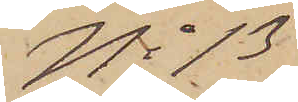No 13
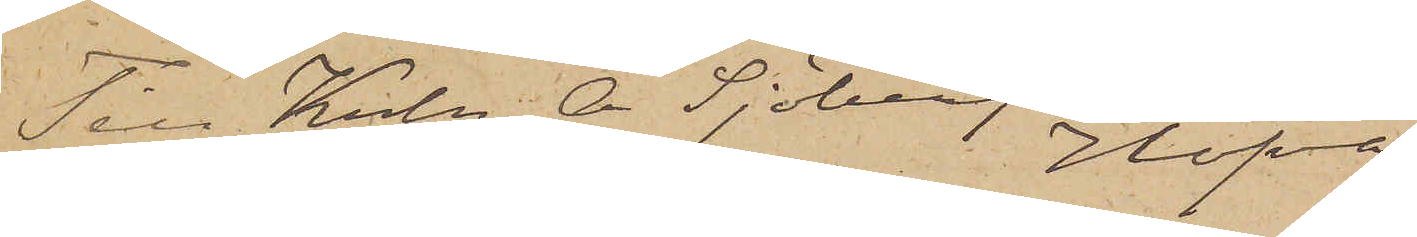Till Krln A. Sjöberg Hofva
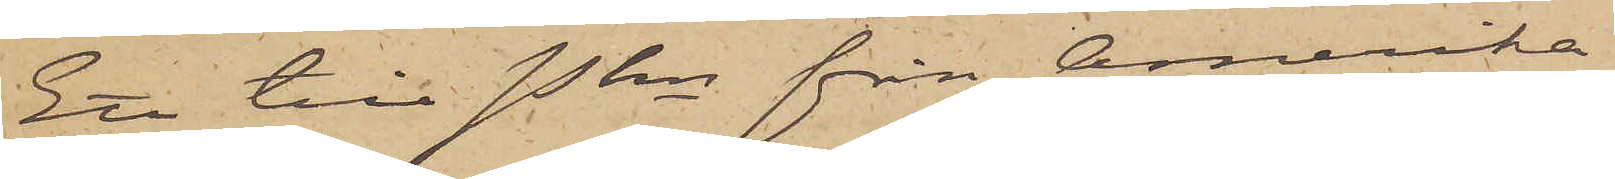Ett till Pkn från Amerika
